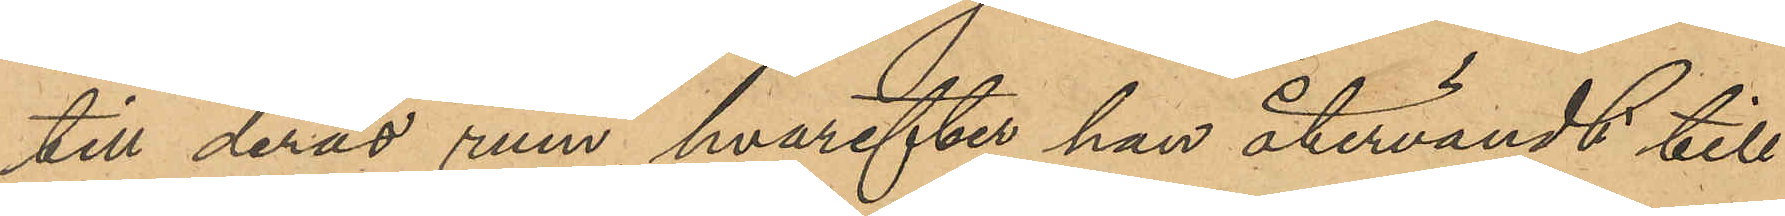till deras rum, hvarefter han återvändt till
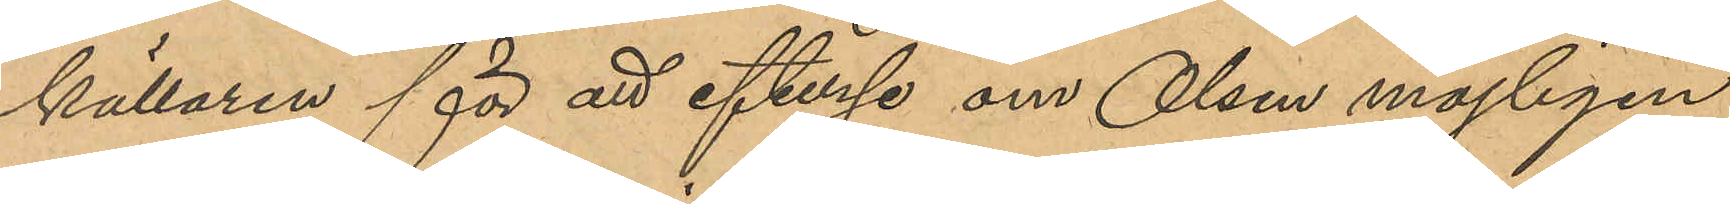källaren för att efterse om Olsen möjligen
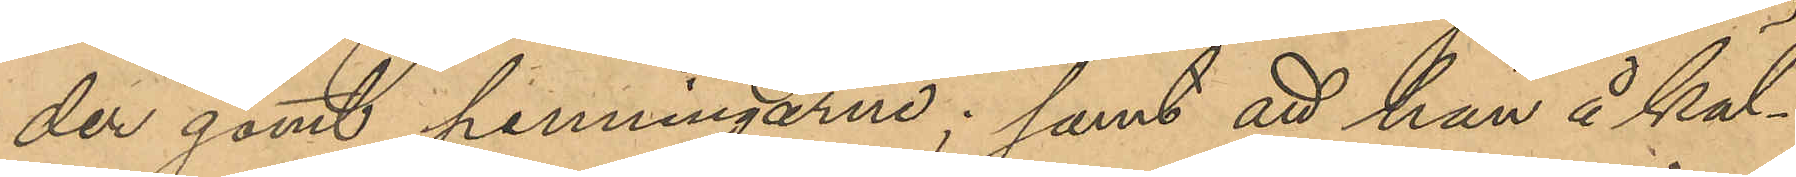der gömt penningarne; samt att han å käl¬
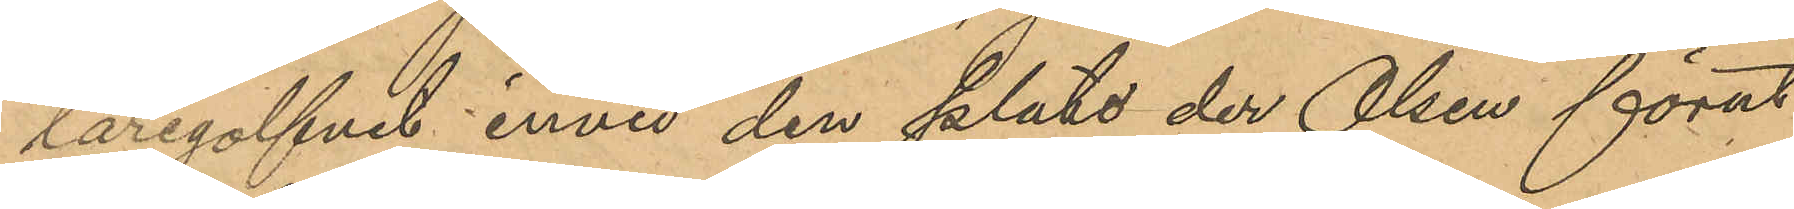largolfvet invid den plats der Olsen förut
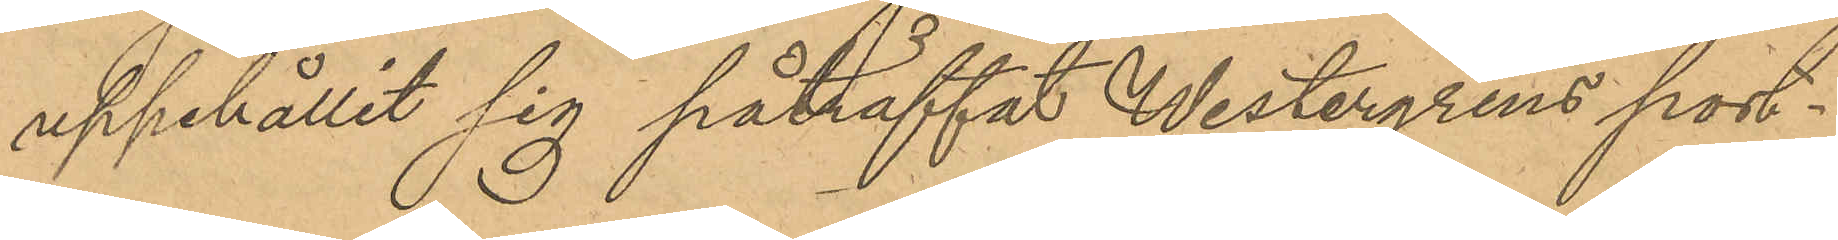uppehållit sig påträffat Westergens port¬
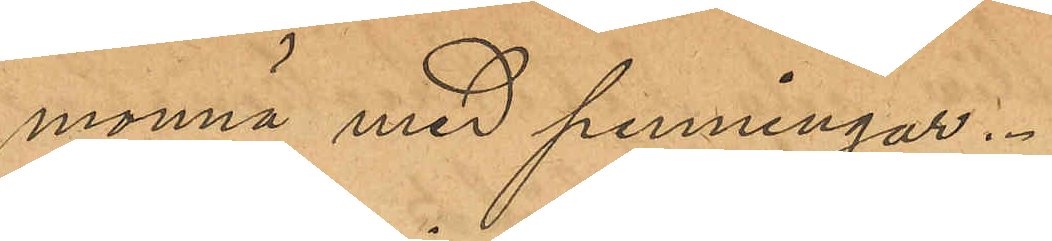monnä med penningar.
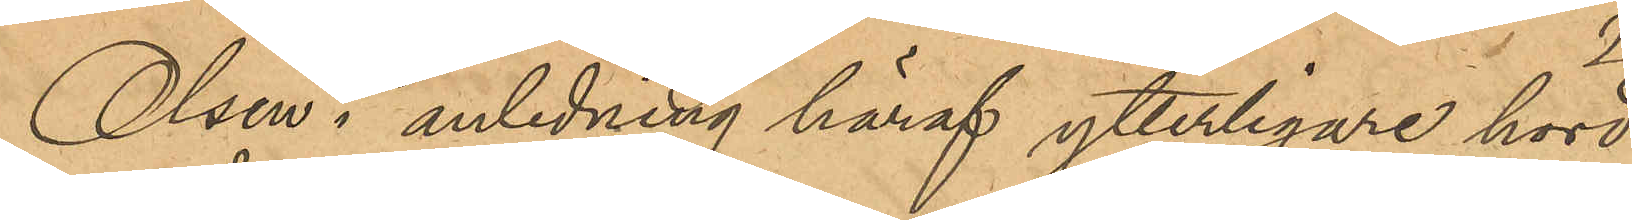Olsen i anledning häraf ytterligare hörd
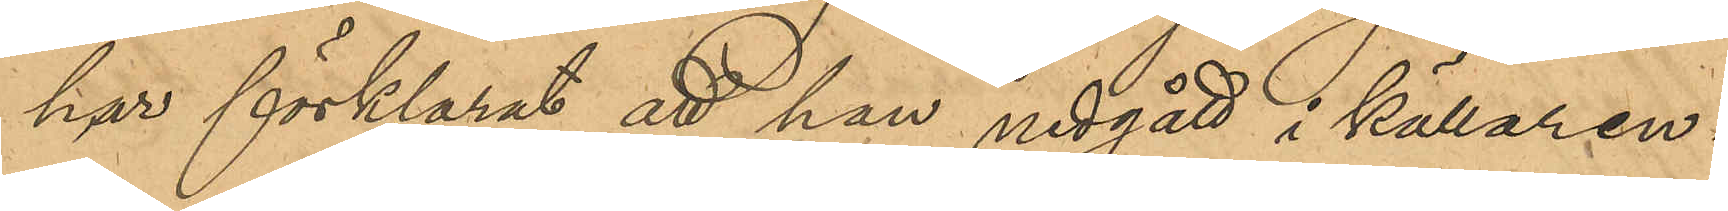har förklarat, att han nedgått i källaren i
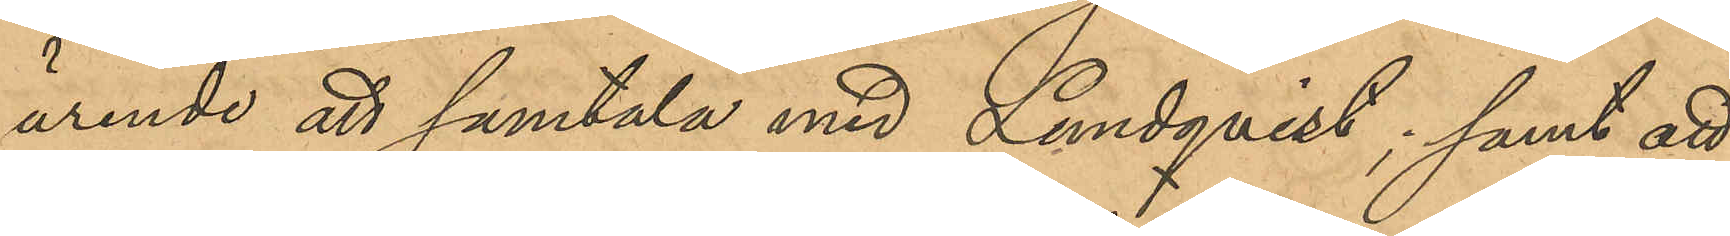ärende att samtala med Lundqvist; samt att
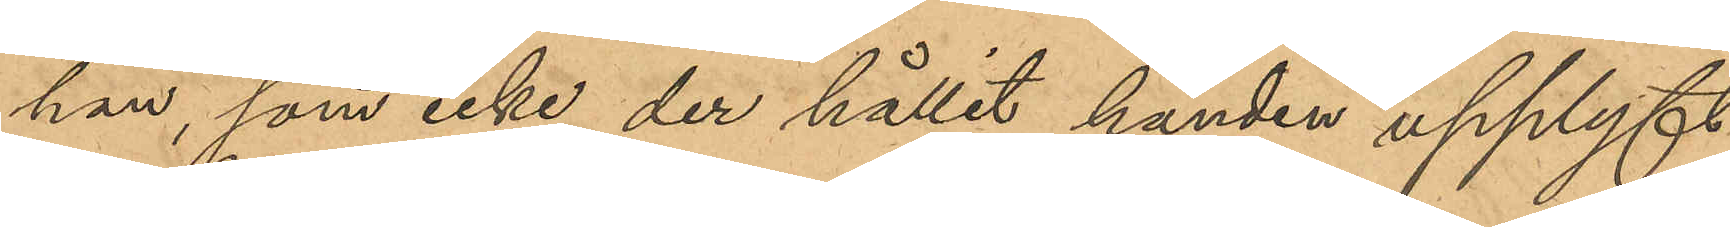han, som icke der hållit handen upplyft
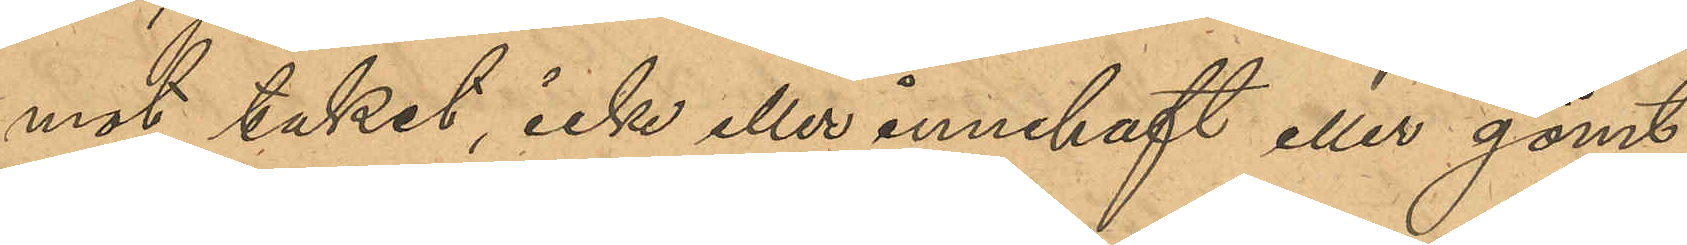mot taket, icke eller innehaft eller gömt
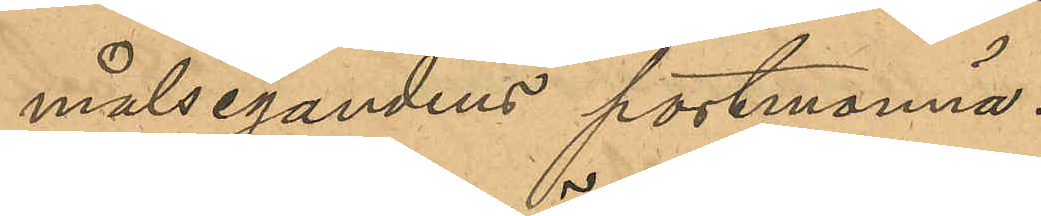målsegandens portmonnä.
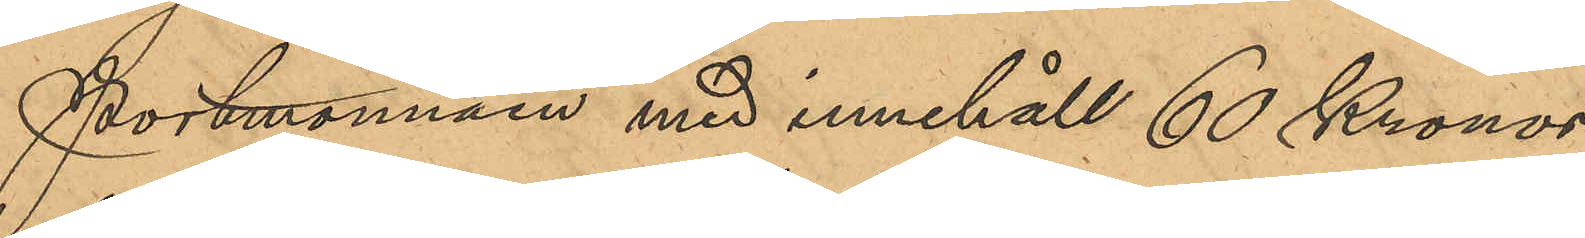Portmonnäen med innehåll 60 Kronor
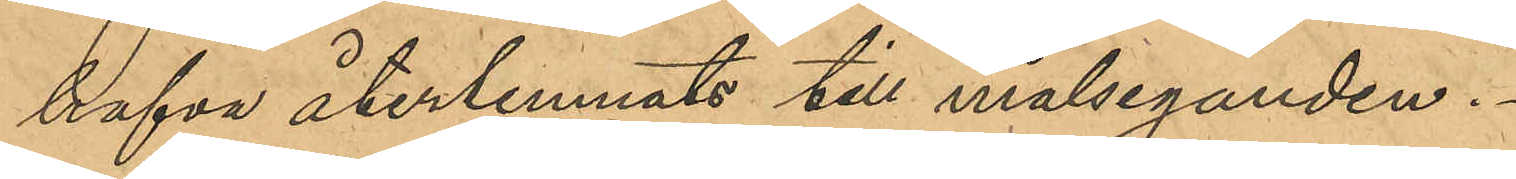hafva återlemnats till målseganden.
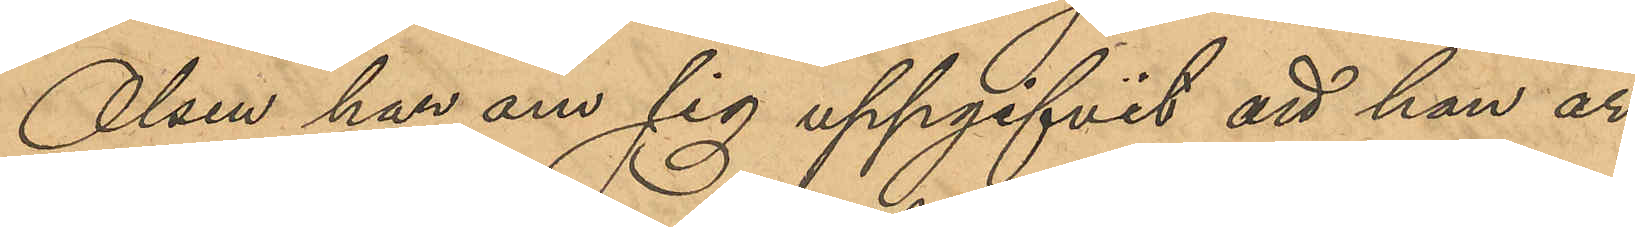Olsen har om sig uppgifvit att han är
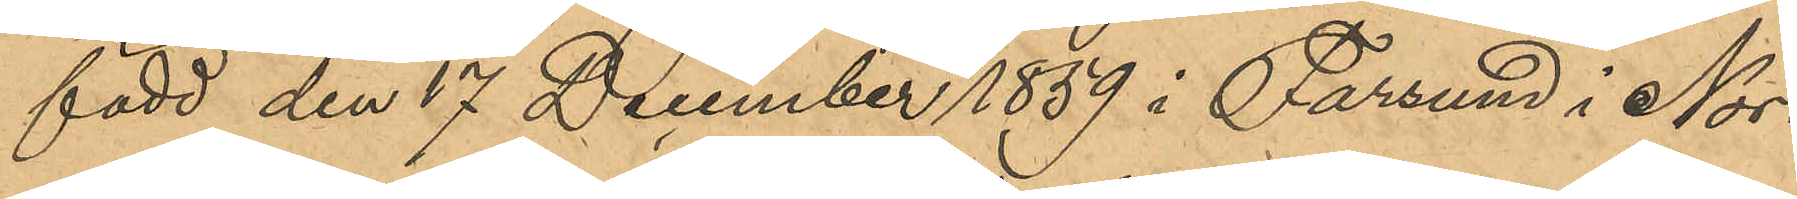född den 17 December 1859 i Farsund i Nor¬
